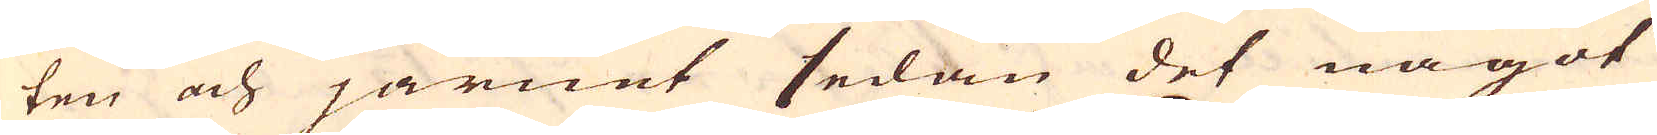ten och järnat sedan det något
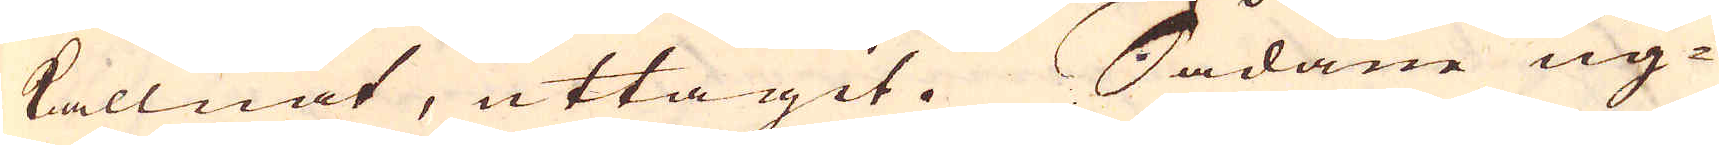kallnat, uttagit. Sådane ug-
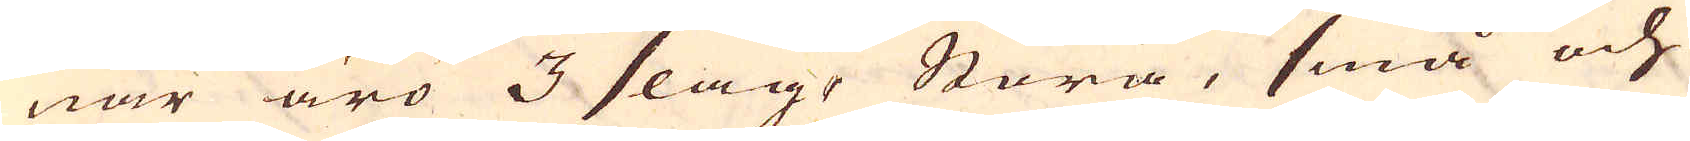nar äro 3 slag, Stora, små och
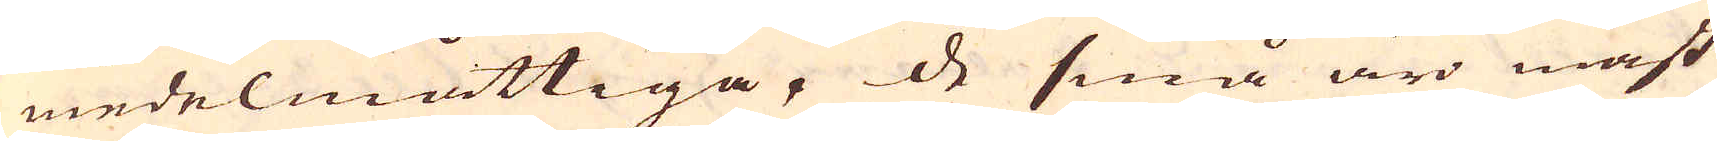medelmåttiga, de små äro mäst
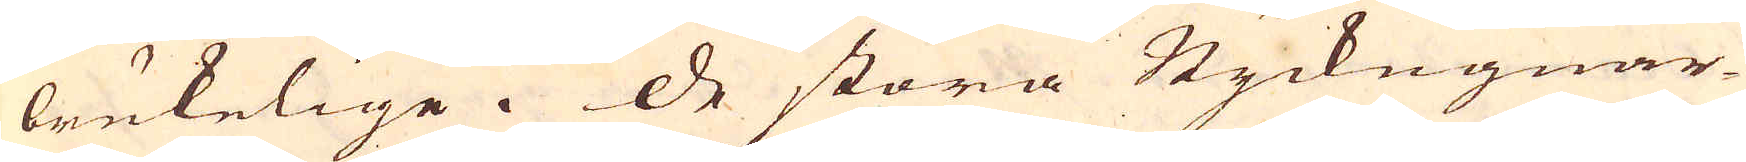brukelige. De stora Styckugnar-
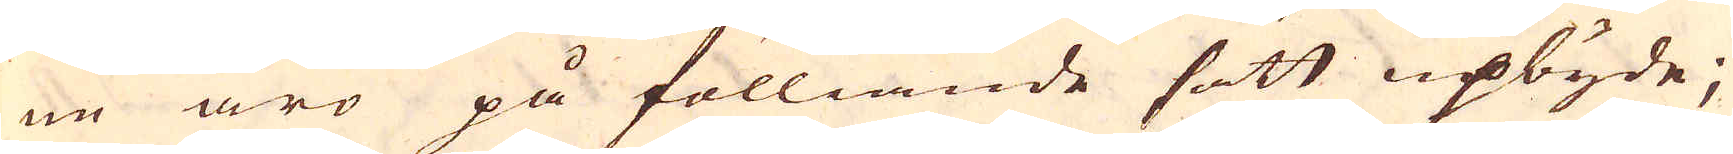ne äro på fölliande sätt upbyde;
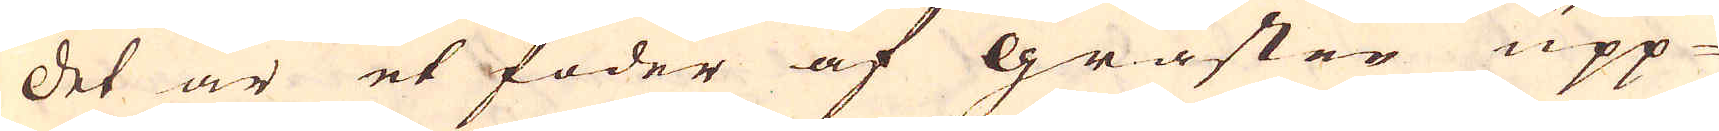Det är et foder af gråsten upp-
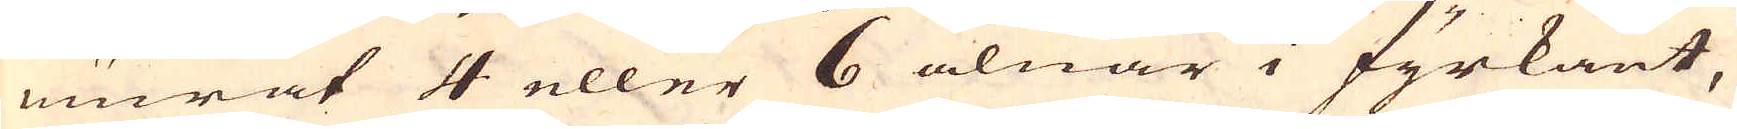murat 4 eller 6 alnar i fyrkant,
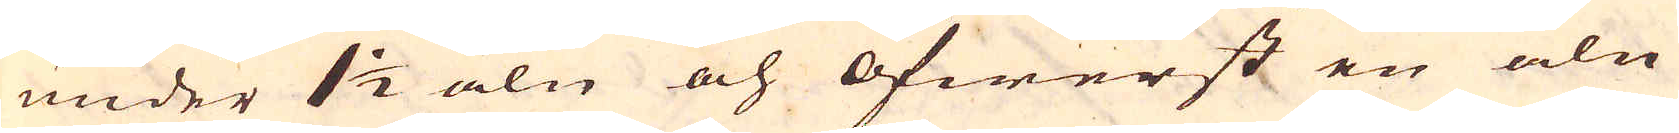under 1 1/2 aln och öfwerst en aln
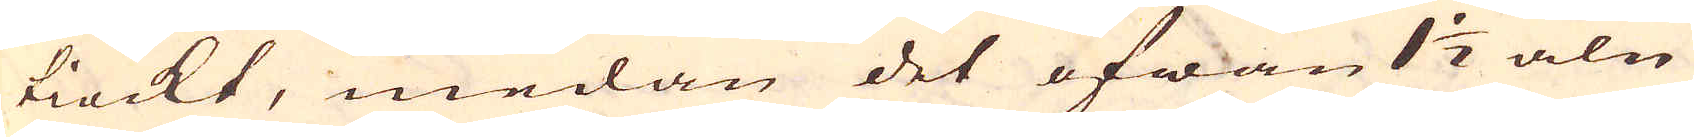tiockt, medan det ofwan 1 1/2 aln
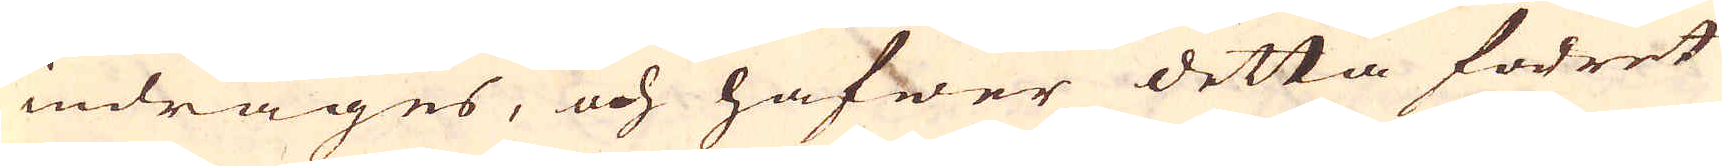indrages, och hafwer detta fodret
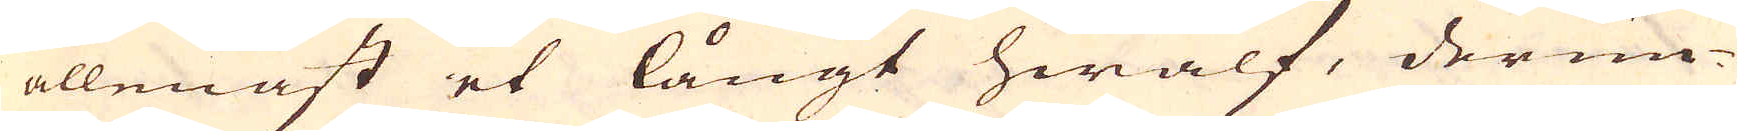allenast et långt hwalf, derun-
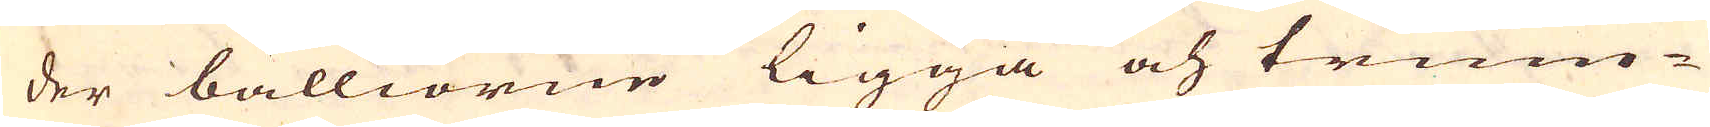der balliorne ligga och trum-
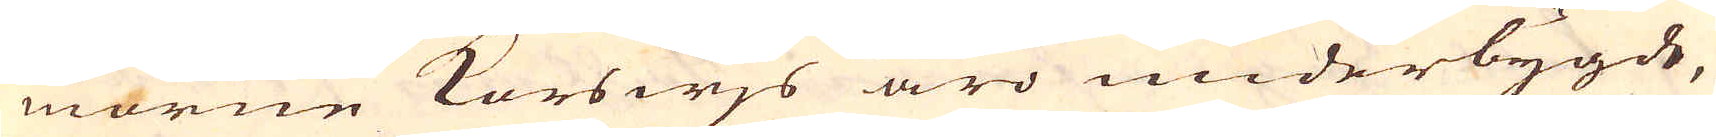morne Korswjs äro underbygde,
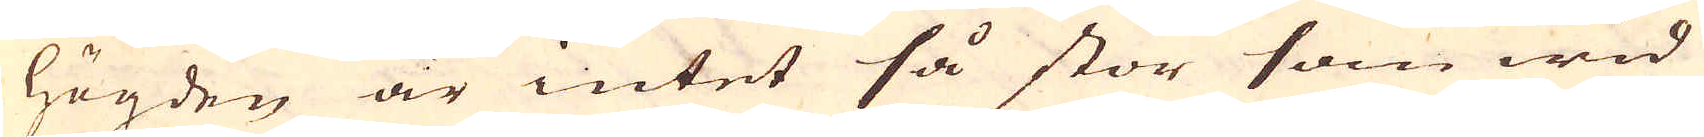högden är intet så stor som wid
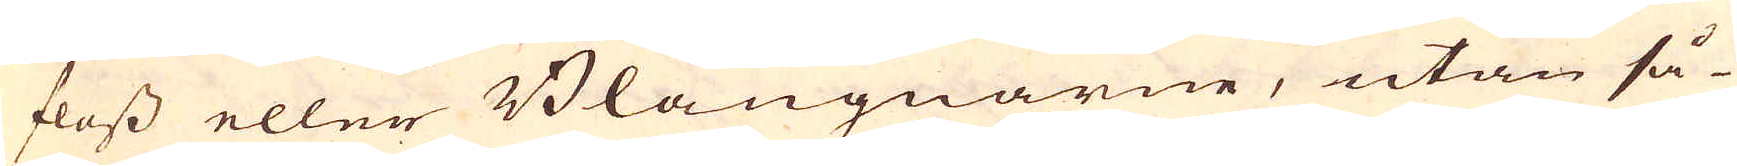floss eller Blåugnarne, utan så-
